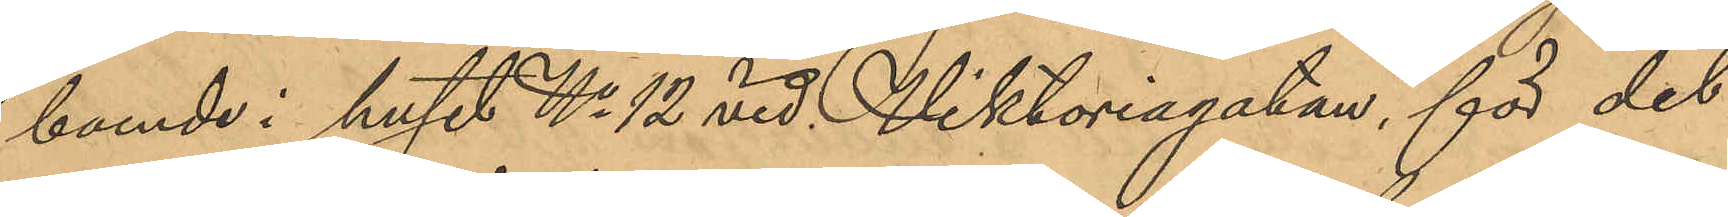boende i huset No 12 vid Viktoriagatan, för det
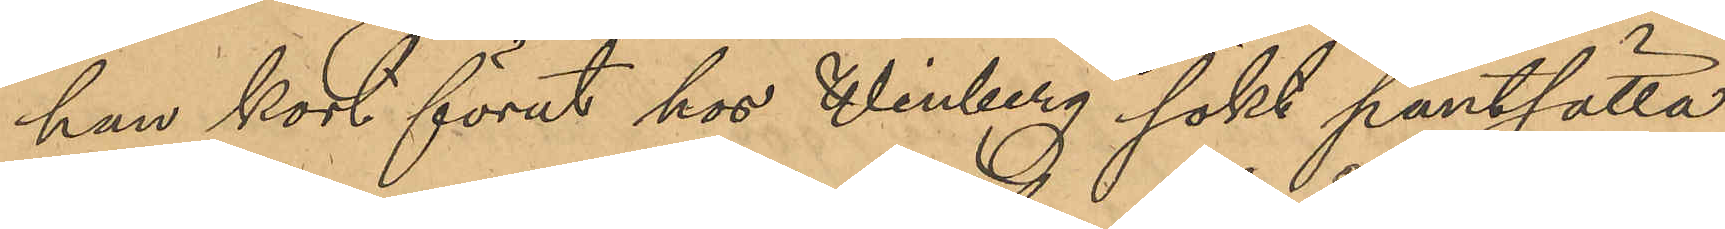han kort förut hos Winberg sökt pantsätta
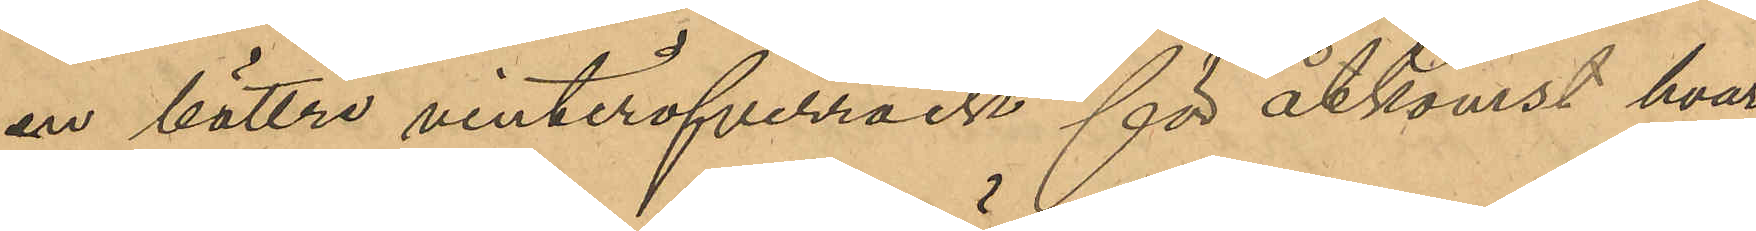en bättre vinteröfverrock för åtkomst hvar¬
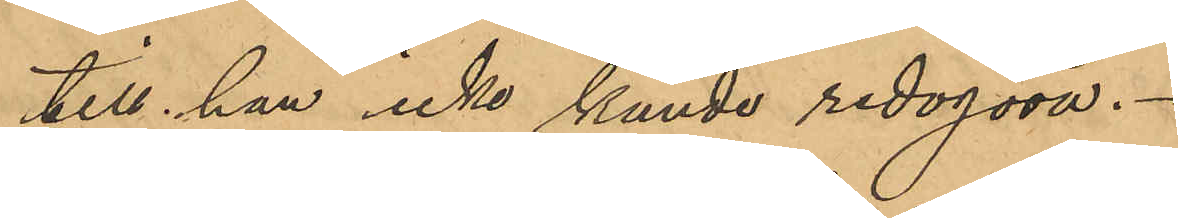till han icke kunde redogöra.
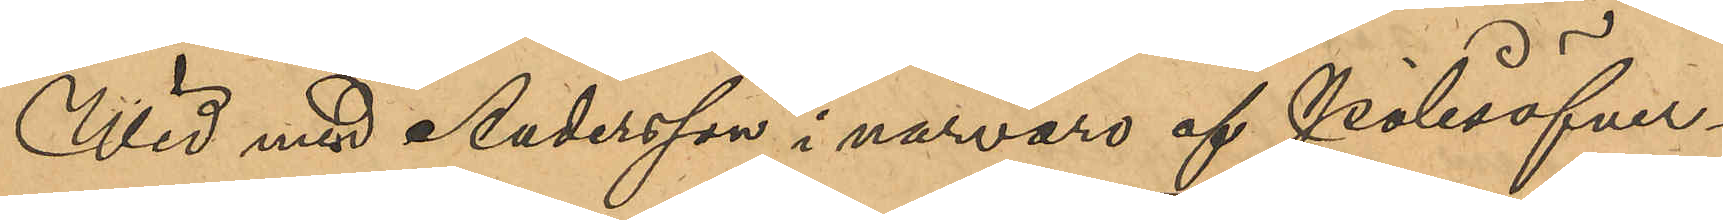Wid med Andersson i närvaro af Polisöfver¬
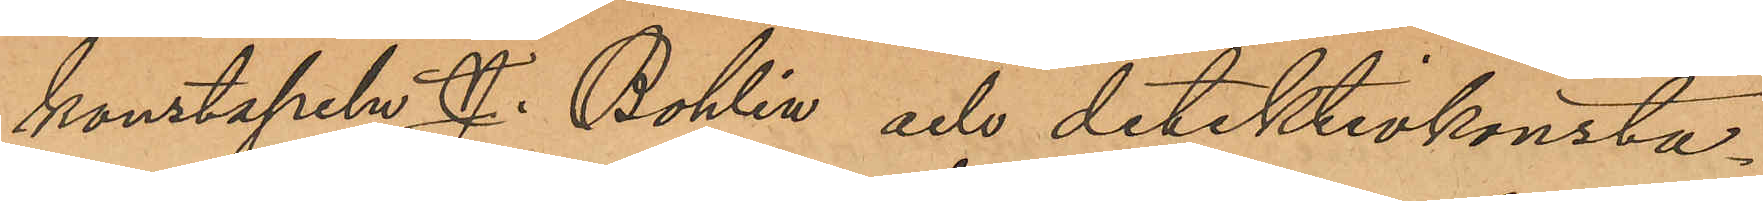konstapel J.Bohlin och detektivkonsta¬
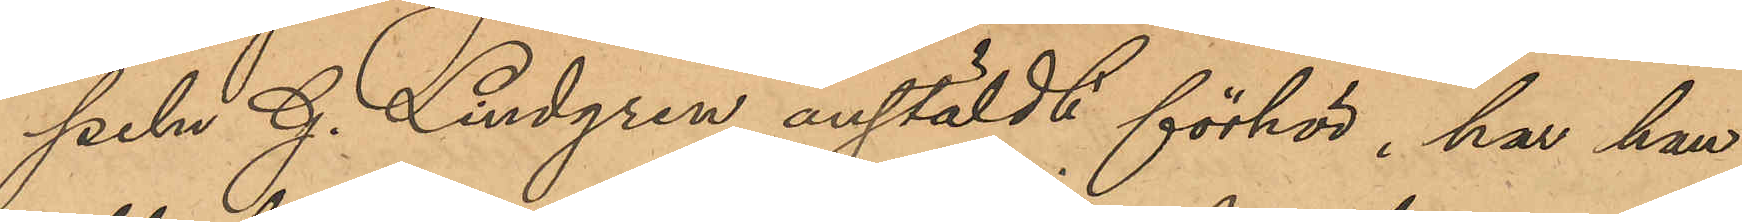peln G. Lindgren anstäldt förhör, har han
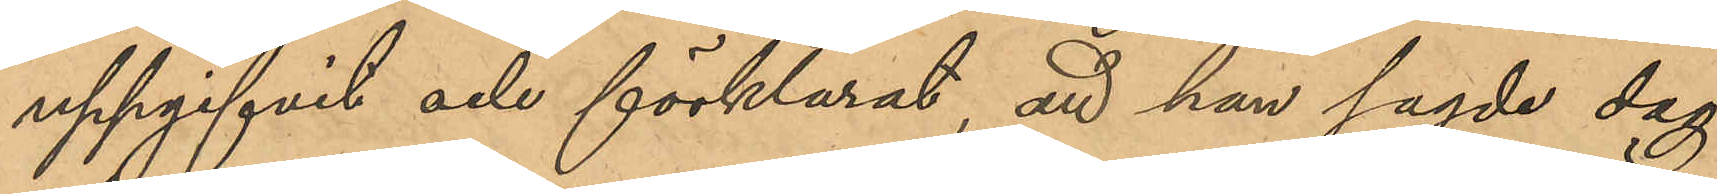uppgifvit och förklarat, att han sagde dag
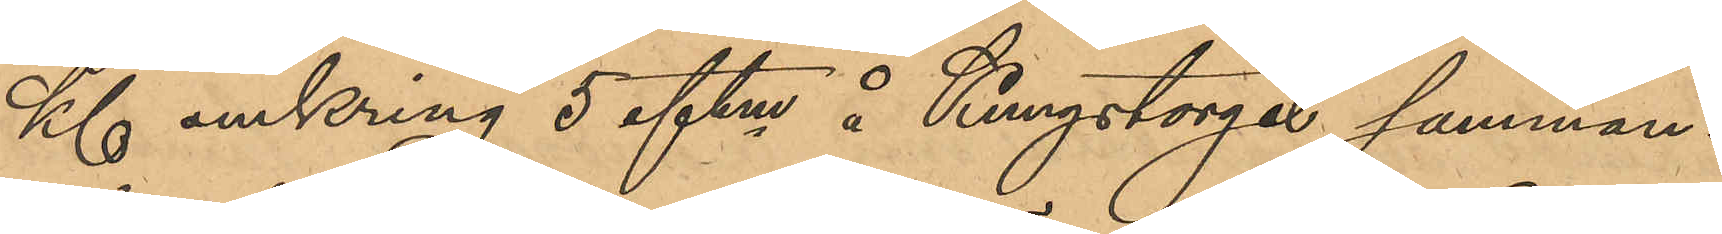Kl omkring 5 eftm å Kungstorget samman¬
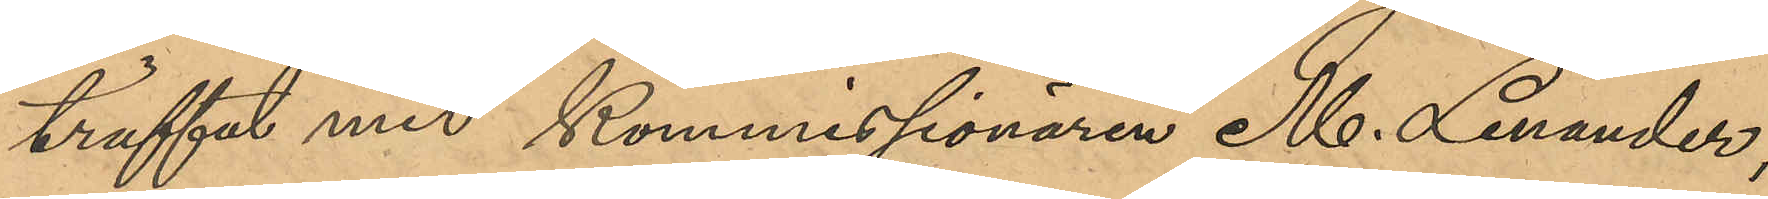träffat med Kommissionären M. Lenander;
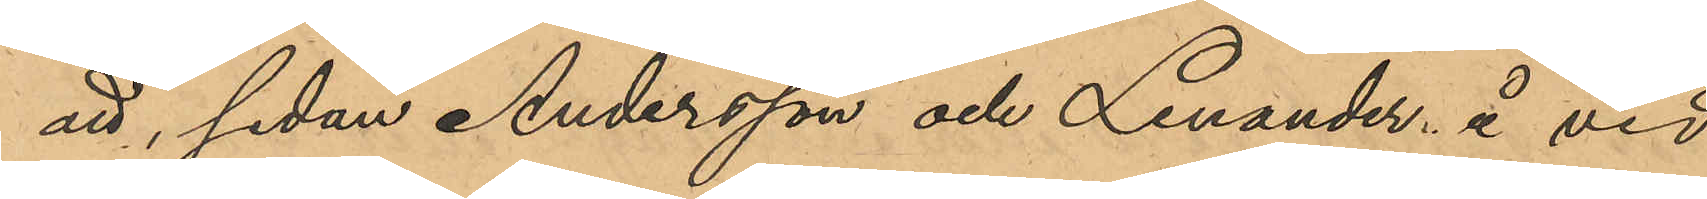att, sedan Andersson och Lenander å vid
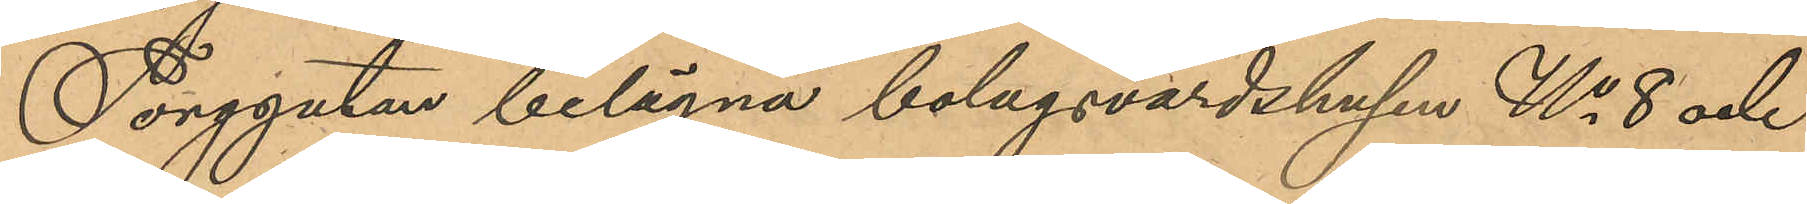Torggatan belägna bolagsvärdshusen No 8 och
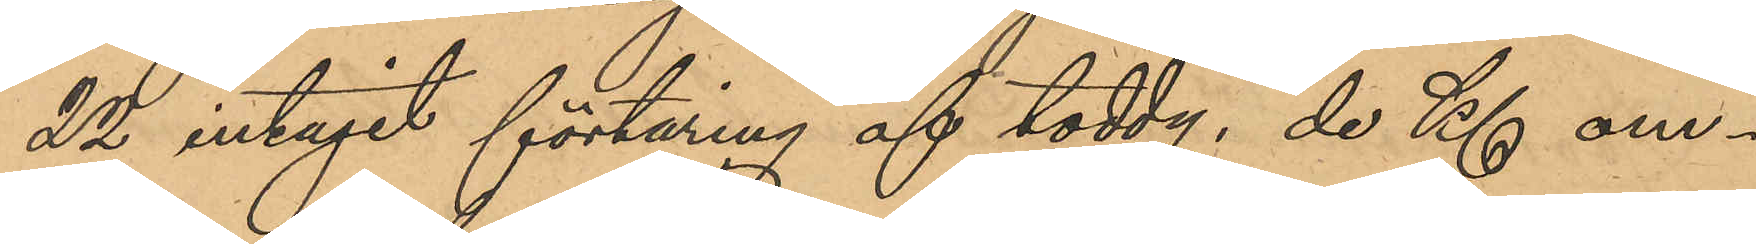22 intagit förtäring af toddy, de Kl om¬
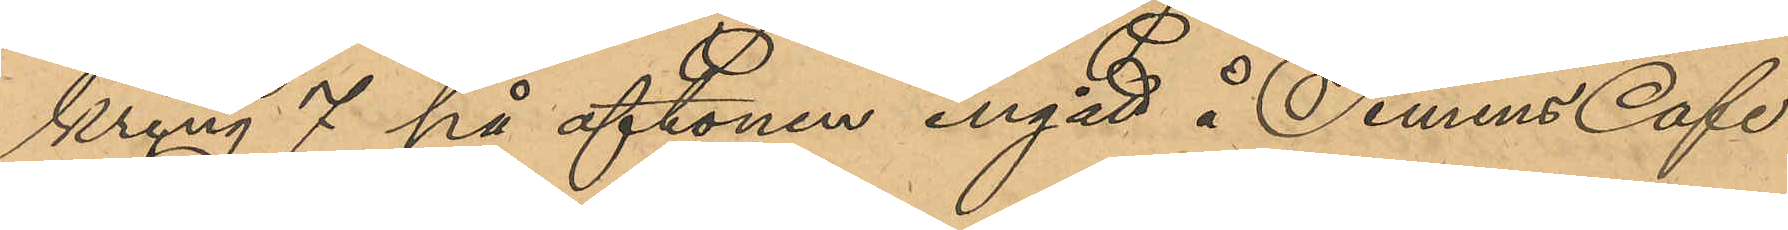kring 7 på aftonen ingått i Simens Café
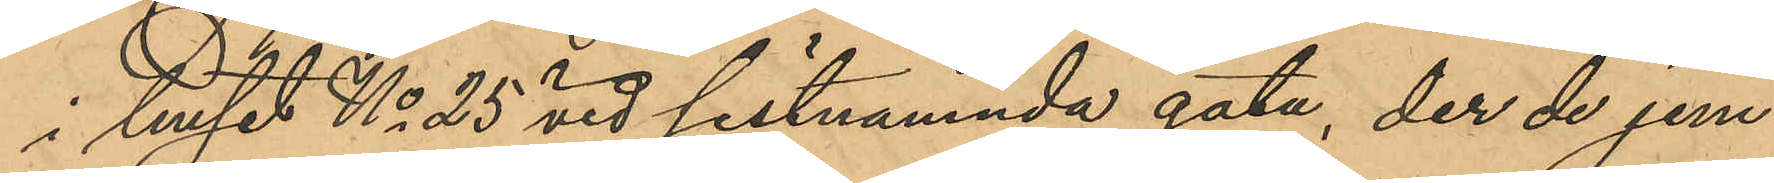i huset No 25 vid sistnämnde gata, der de jem¬
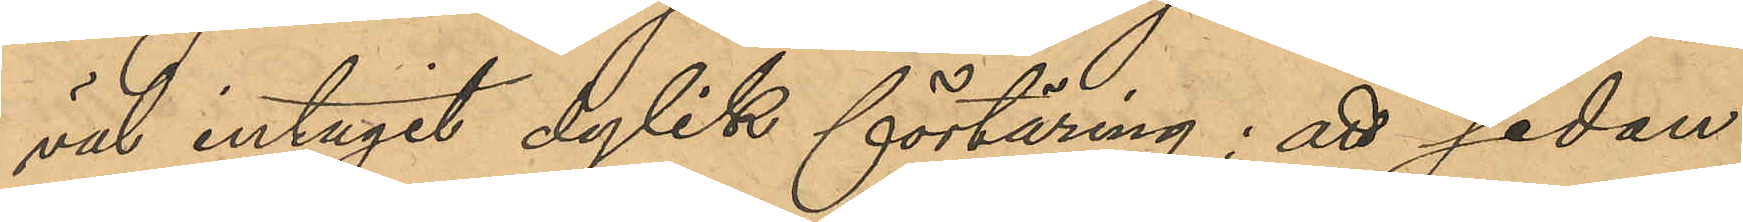väl intagit dylik förtäring; att sedan
